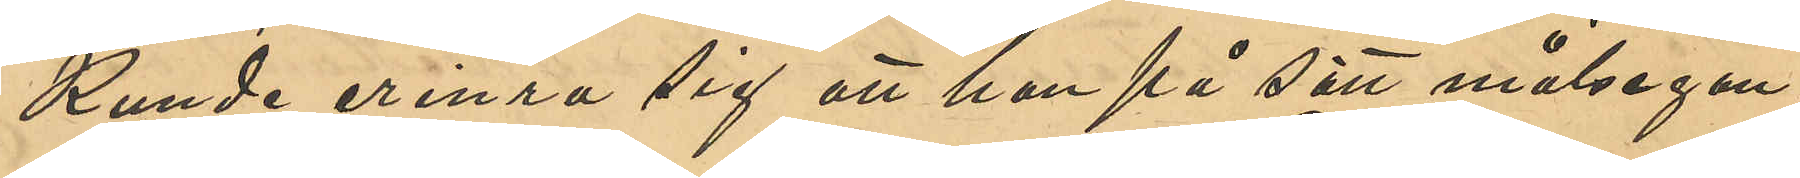Kunde erinra sig att han på sätt målsegan¬
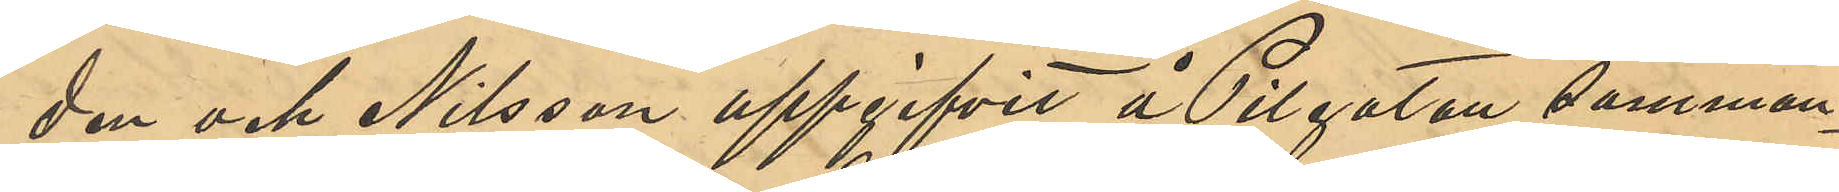den och Nilsson uppgifvit å Pilgatan samman¬
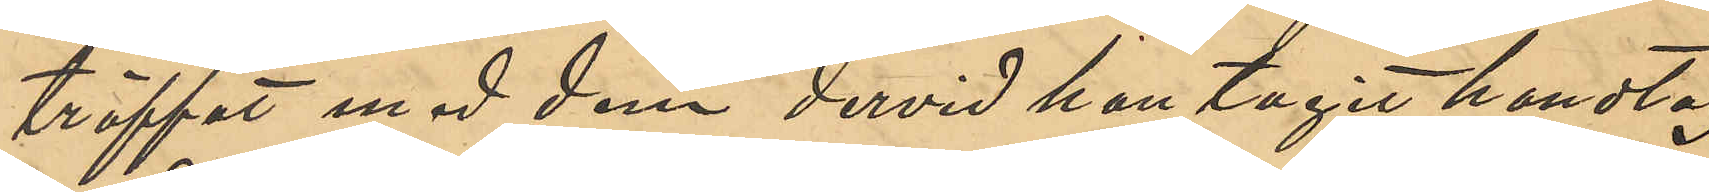träffat med dem dervid han tagit handtag
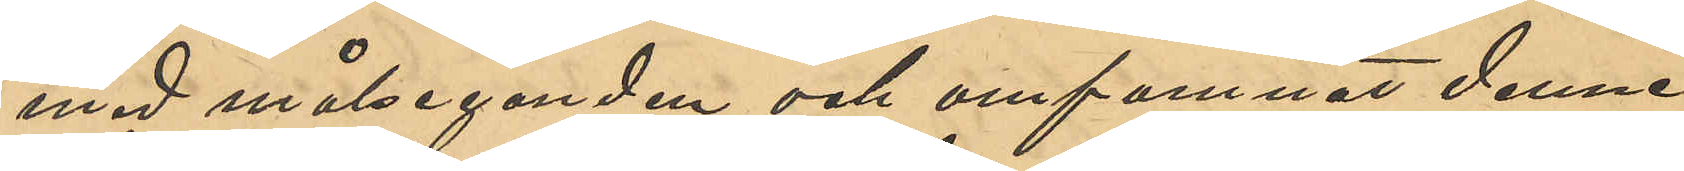med målseganden och omfamnat denne.
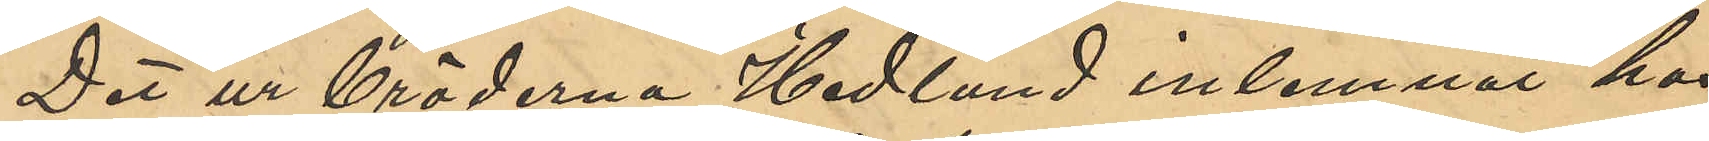Det ur bröderna Hedlund inlemnat hos
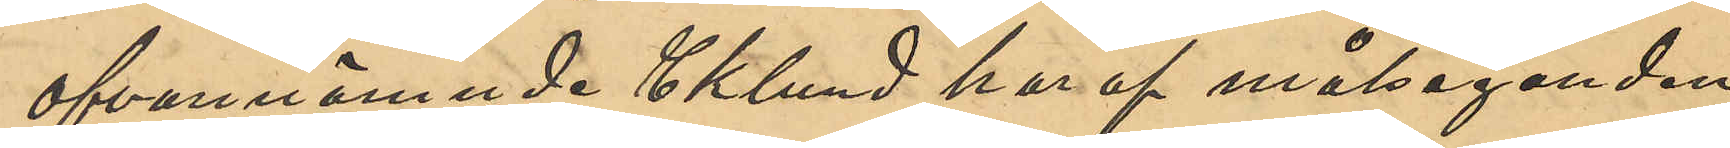ofvannämnde  Eklund har af målseganden
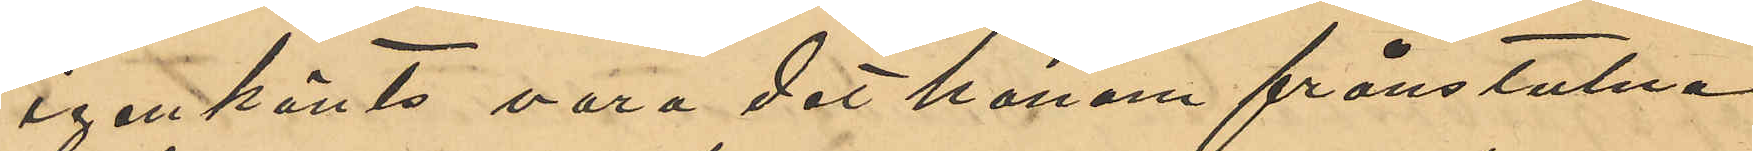igenkänts vara det honom frånstulna.
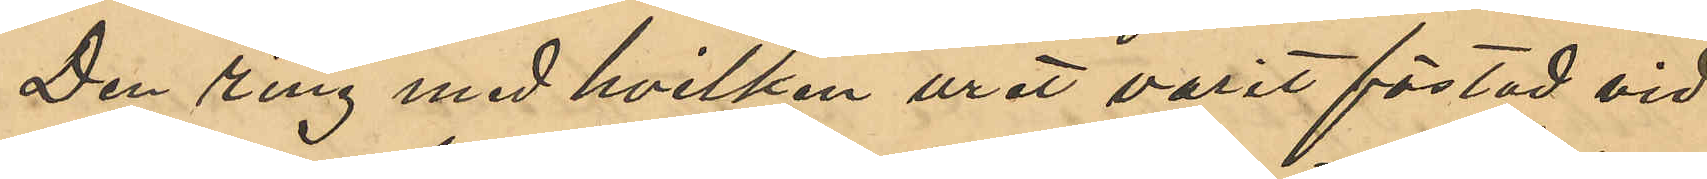Den ring med hvilken uret varit fästad vid
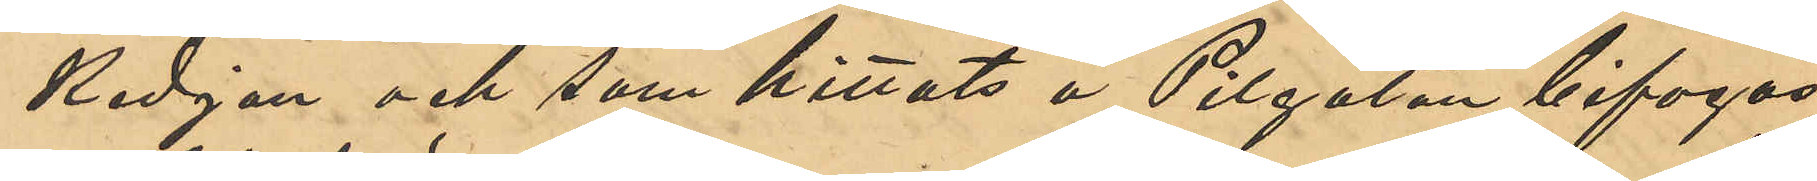Kedjan och som hittats å Pilgatan bifogas.
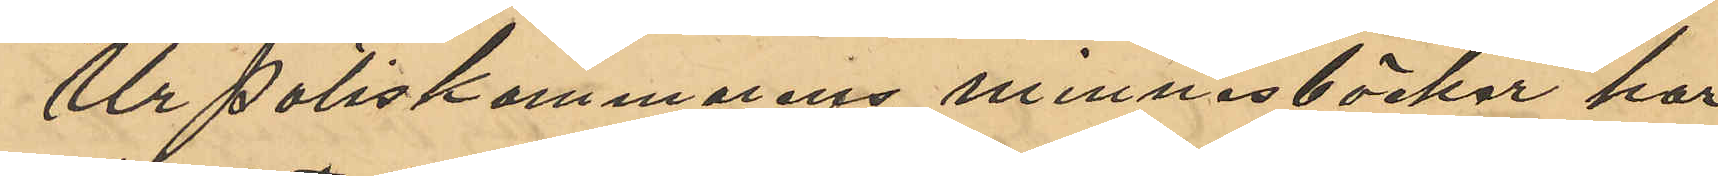Ur Poliskammarens minnesböcker har
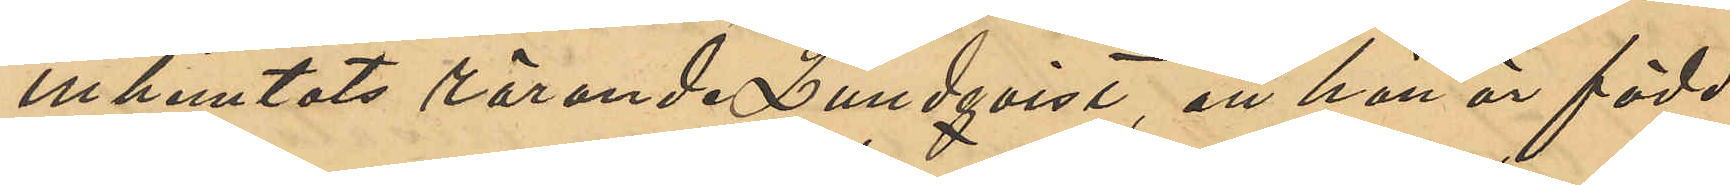inhemtats rörande Lundqvist, att han är född
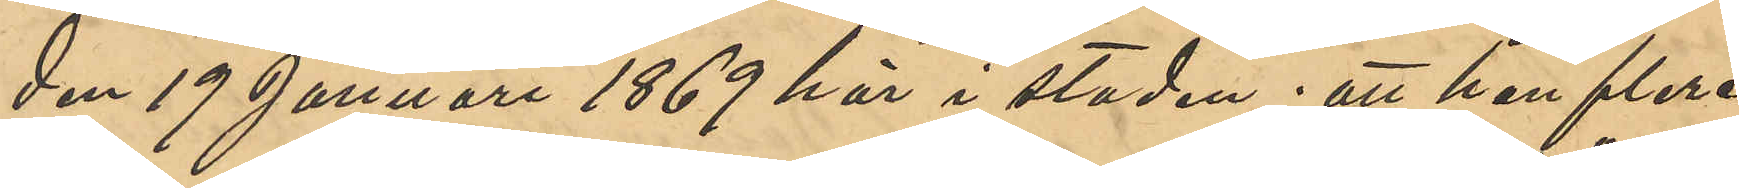den 19 Januari 1869 här i staden; att han flera
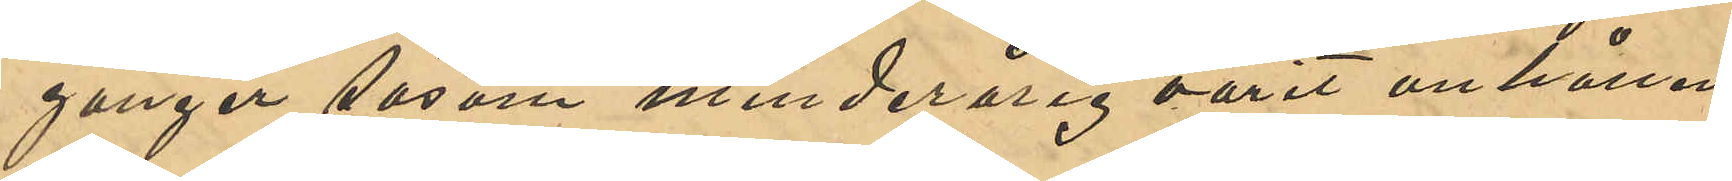gånger såsom minderårig varit anhållen
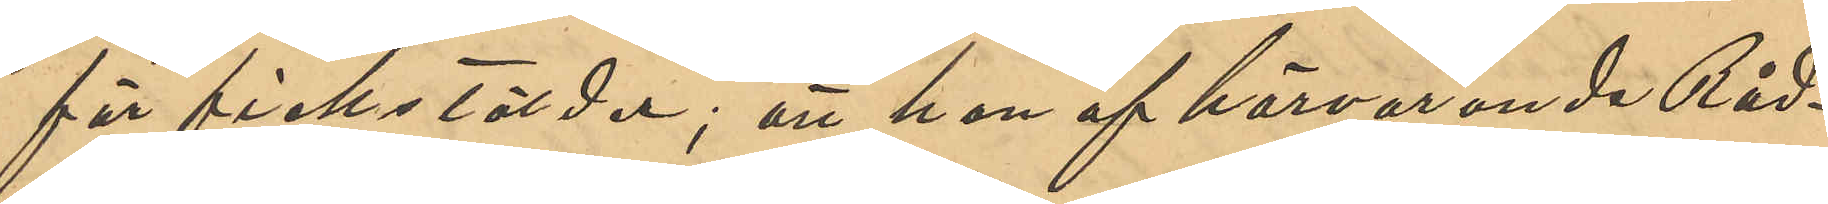för fickstölder; att han af härvarande Råd¬
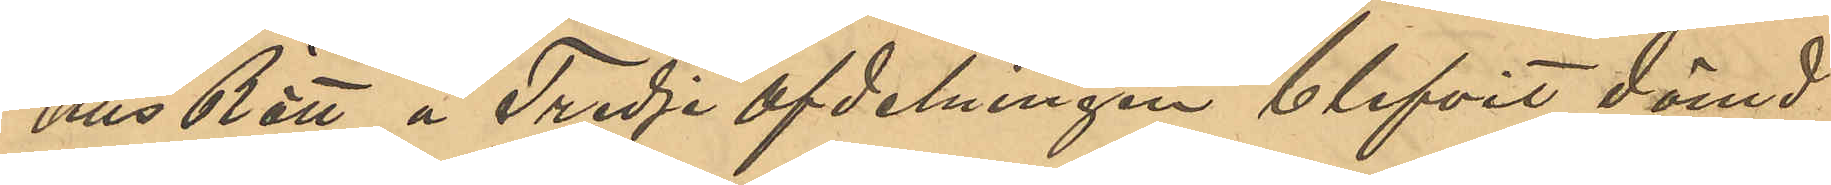hus Rätt å Tredje afdelningen blifvit dömd:
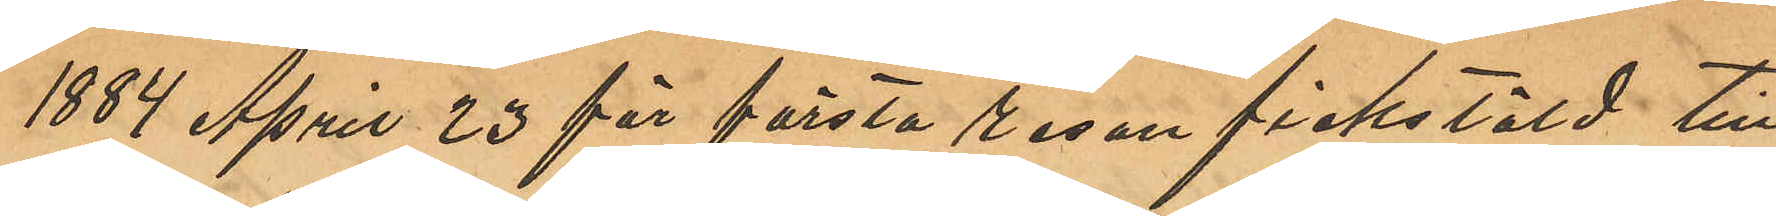1884 April 23 för första resan fickstöld till
